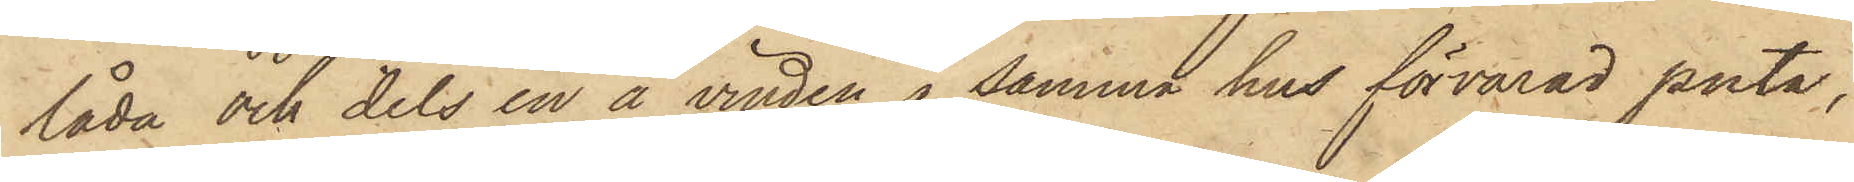låda och dels en å vinden i samma hus förvarad puta,
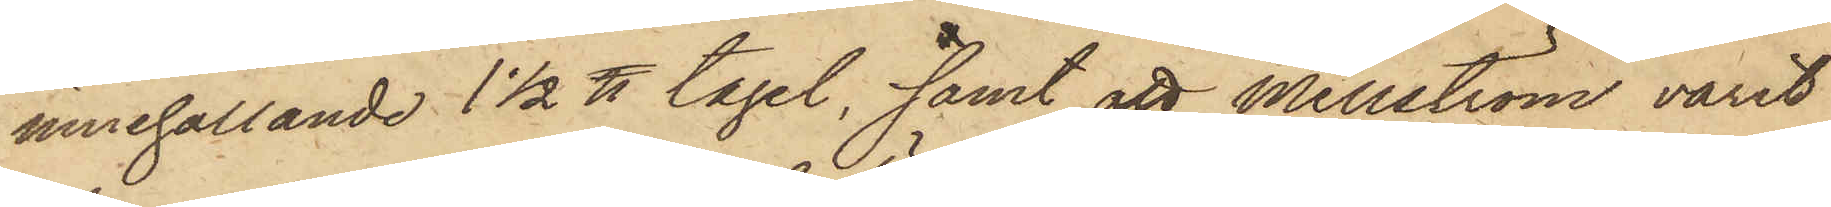innehållande 1 1/2 ℔ tagel, samt att Mellström varit
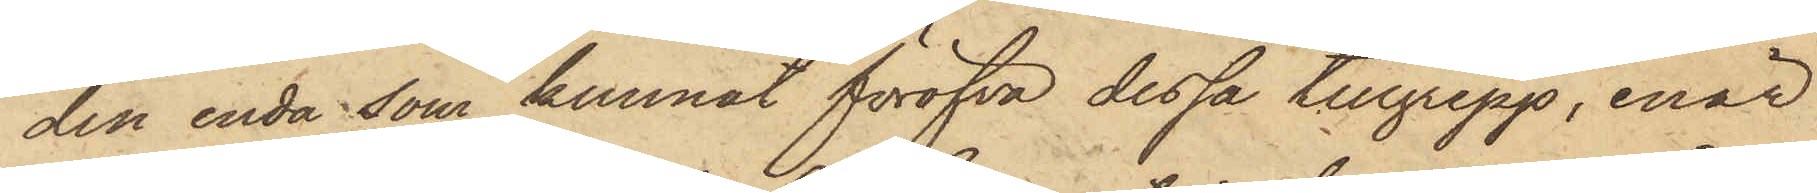den enda som kunnat föröfva dessa tillgrepp, enär
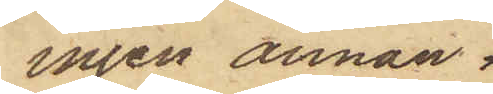ingen annan
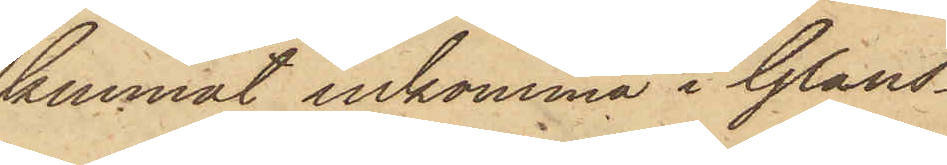kunnat inkomma i Glans¬
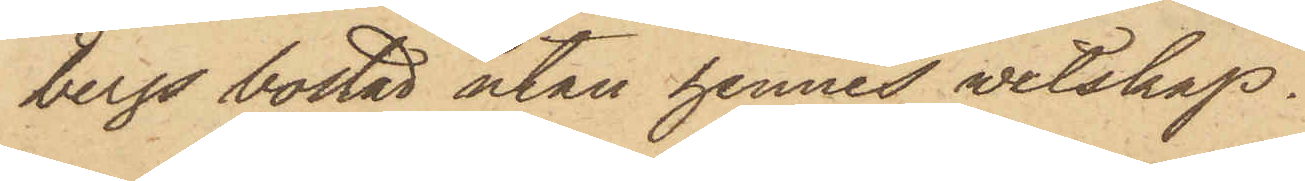bergs bostad utan hennes vetskap.
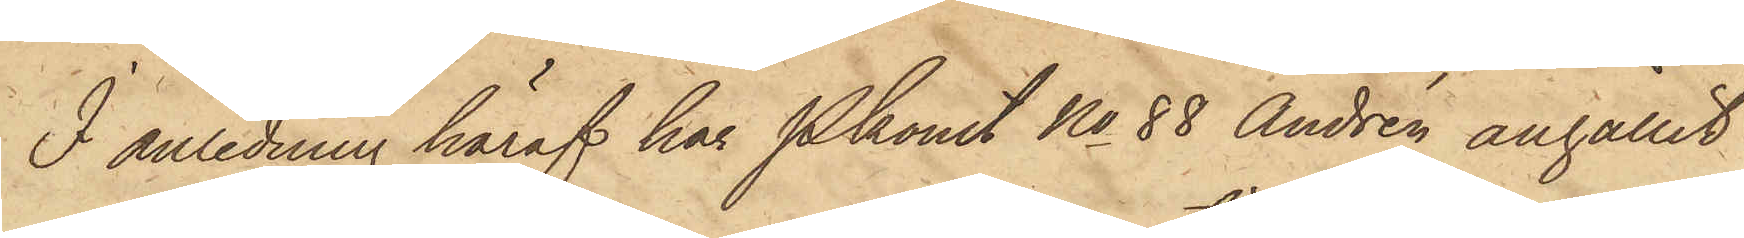I anledning häraf har Pkonst No 88 Andrén anhållit
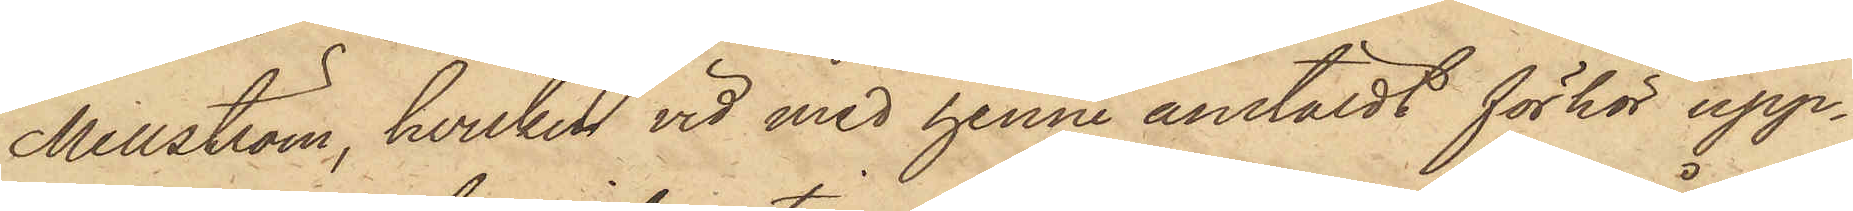Mellström, hvilken vid med henne anstäldt förhör upp¬
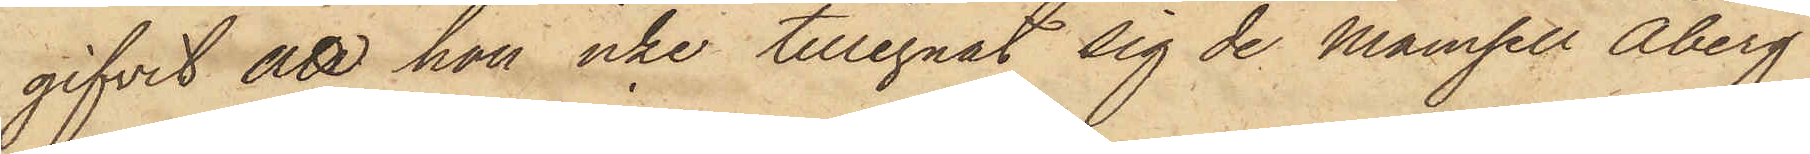gifvit att hon icke tillegnat sig de Mamsell Åberg
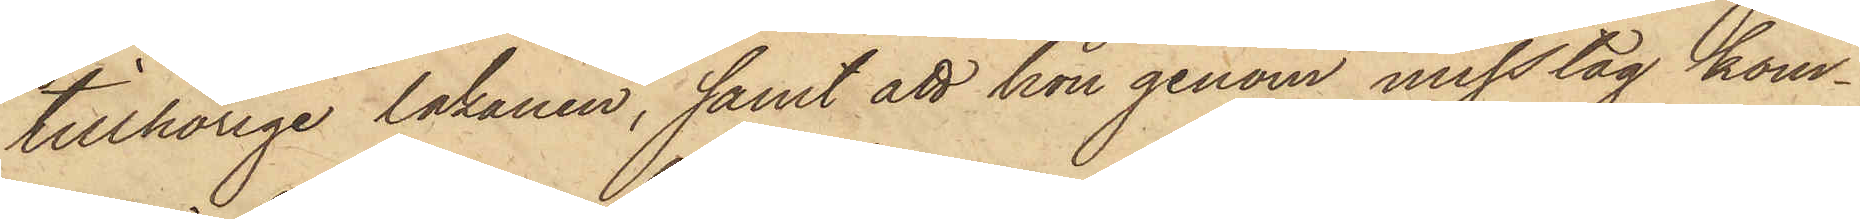tillhörige lakanen; samt att hon genom misstag kom¬
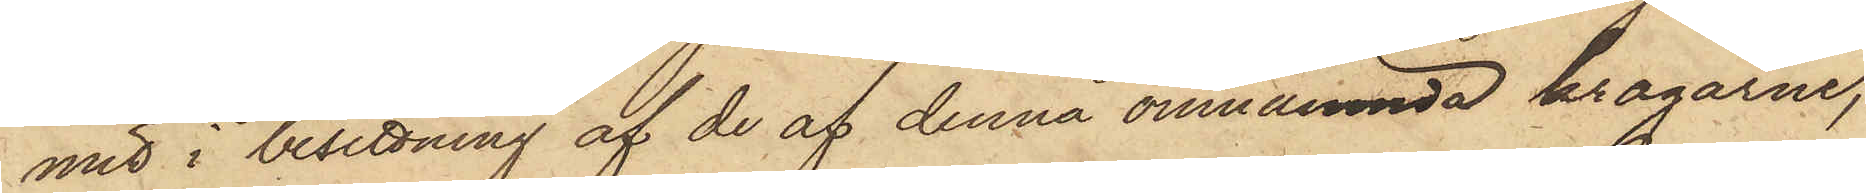mit i besittning af de af denna omnämnda kragarne,
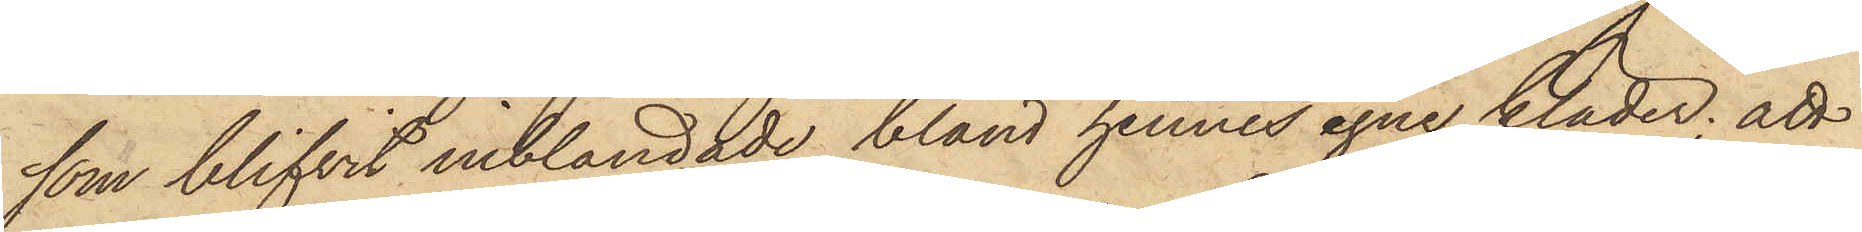som blifvit inblandade bland hennes egne kläder; att
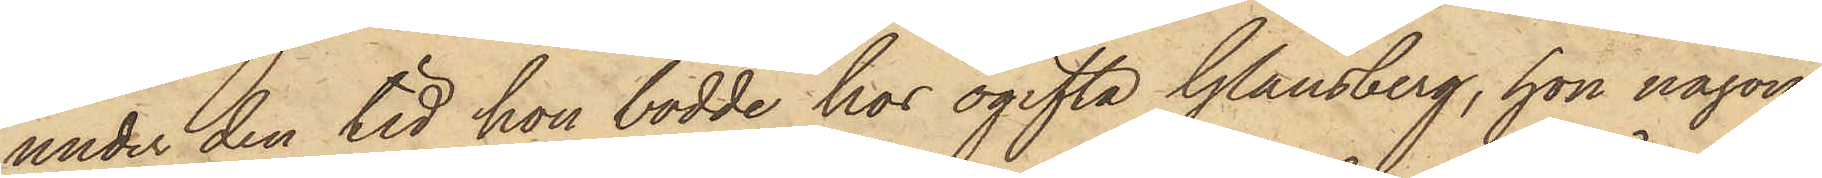under den tid hon bodde hos ogifta Glansberg, hon någon
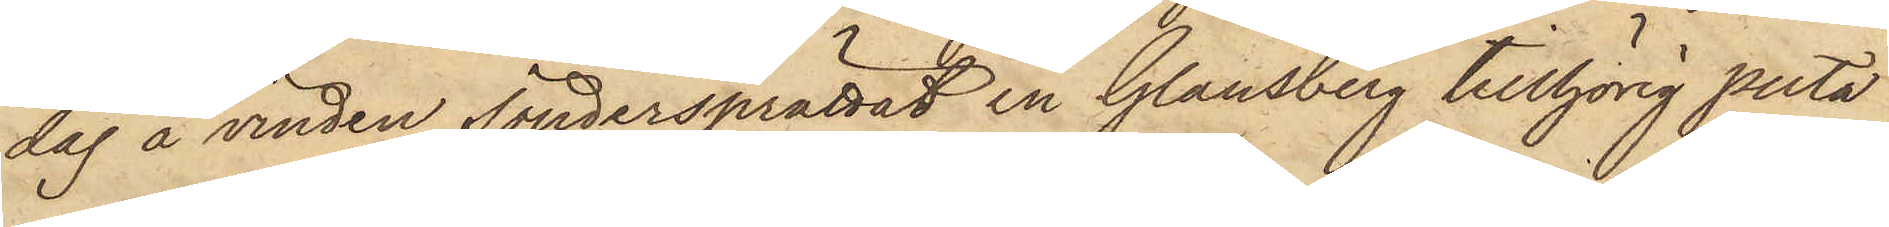dag å vinden söndersprättat en Glansberg tillhörig puta
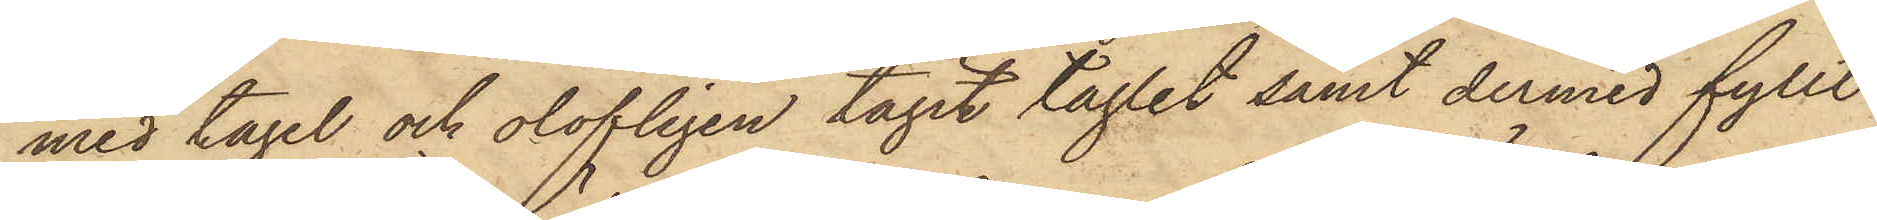med tagel och olofligen tagit taglet samt dermed fyllt
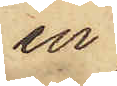en
